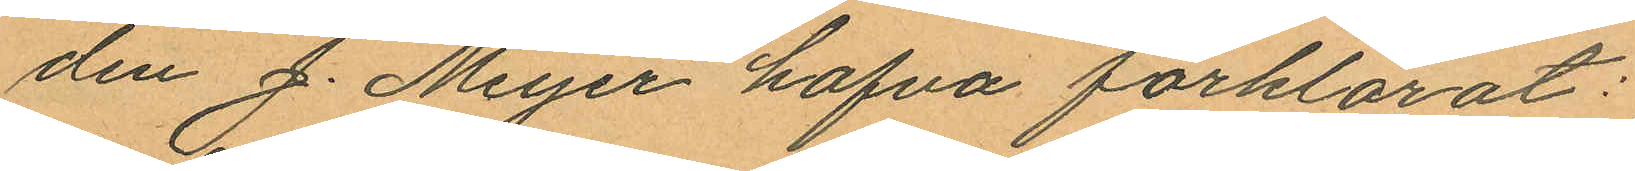den J. Meyer hafva förklarat:
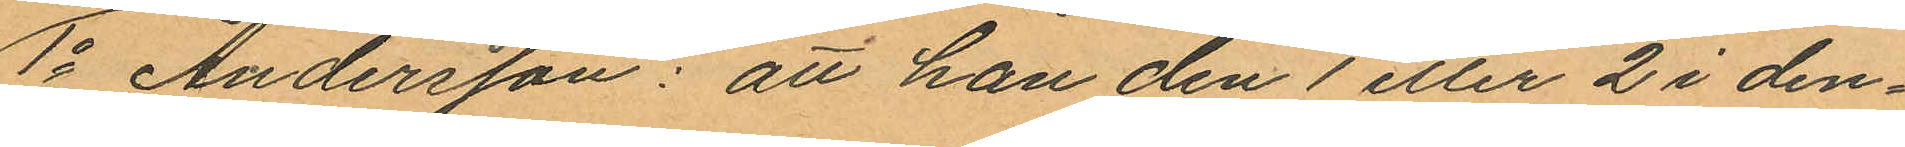1o Andersson: att han den 1 eller 2 i den¬
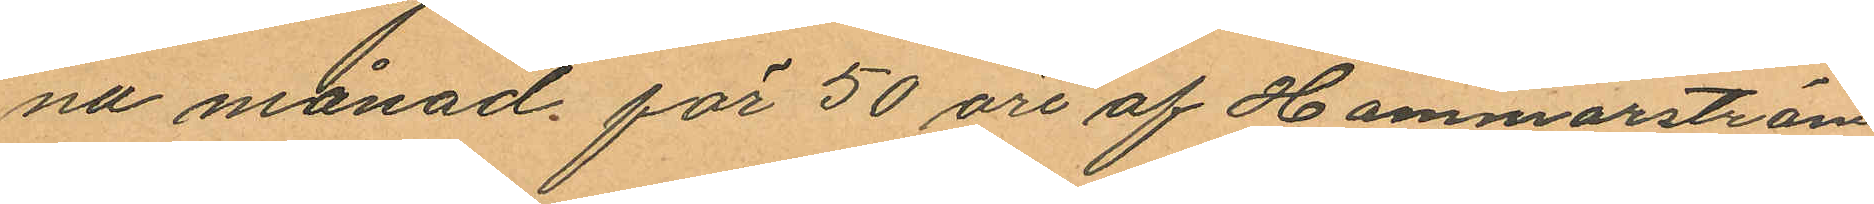na månad för 50 öre af Hammarström
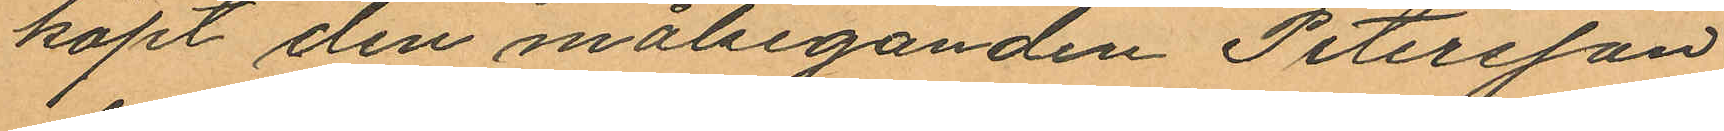köpt den målseganden Petersson
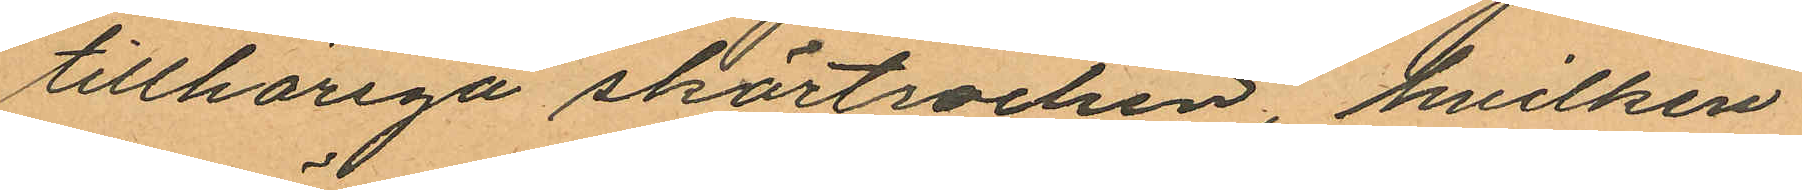tillhöriga skörtrocken, hvilken
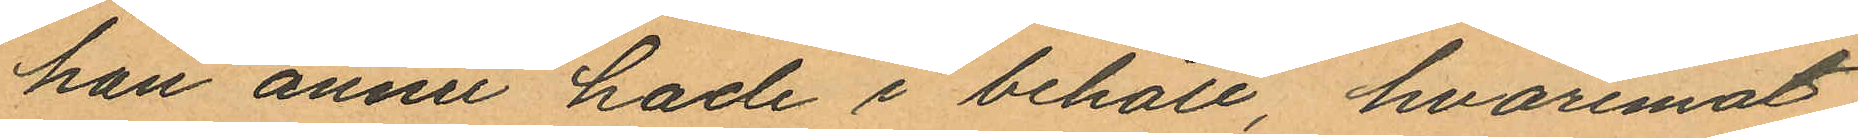han ännu hade i behåll, hvaremot
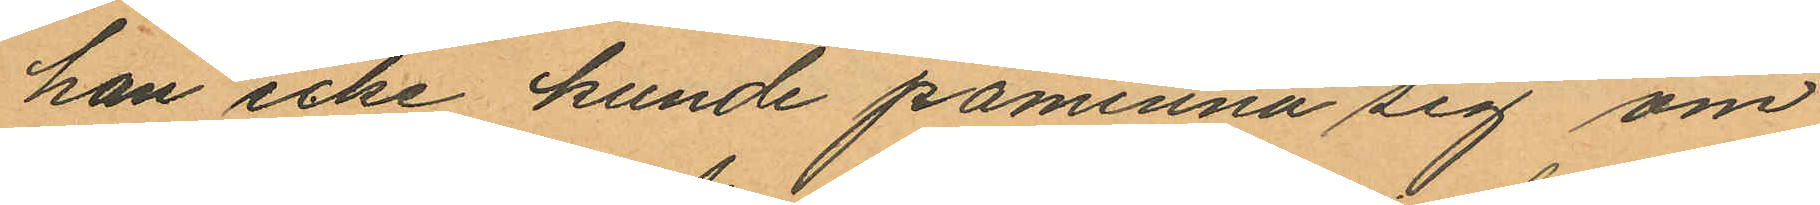han icke kunde påminna sig om
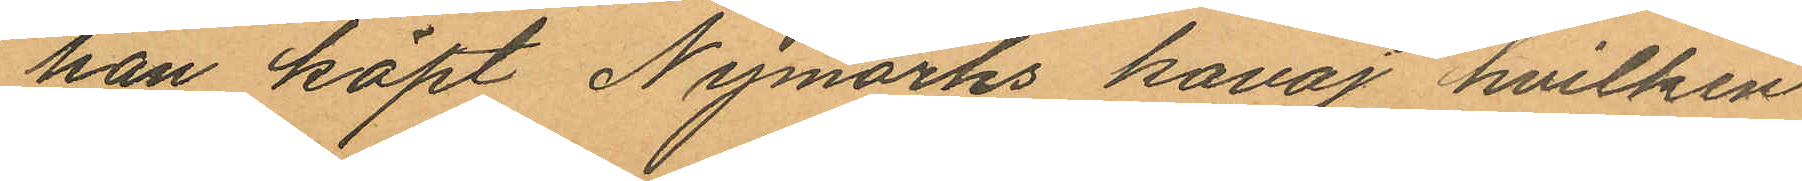han köpt Nymarks kavaj hvilken
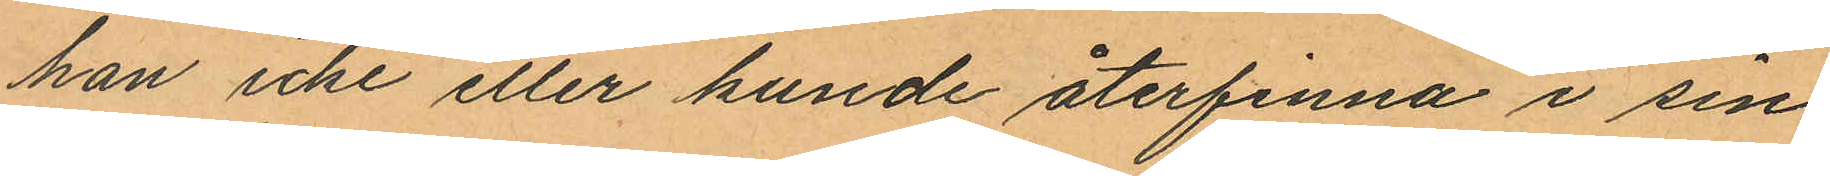han icke eller kunde återfinna i sin
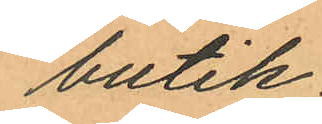butik
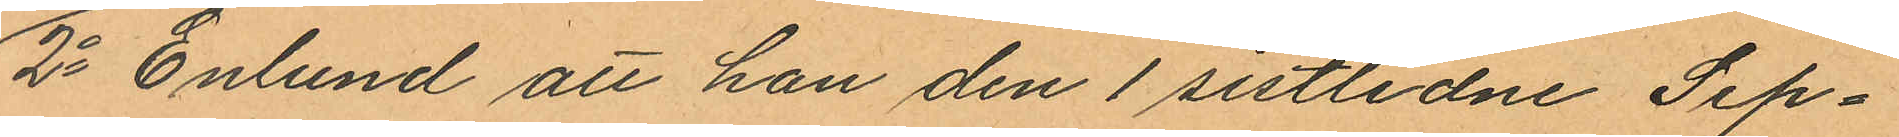2o Enlund att hon den 1 sistlidne Sep¬
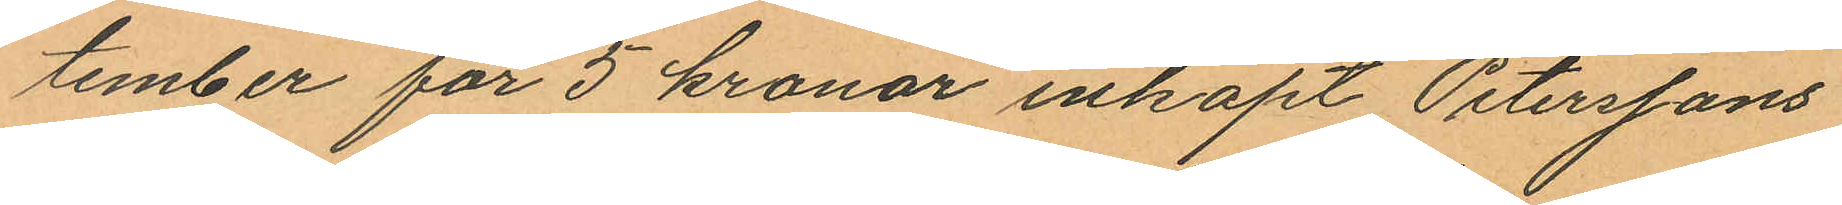tember för 5 kronor inköpt Peterssons
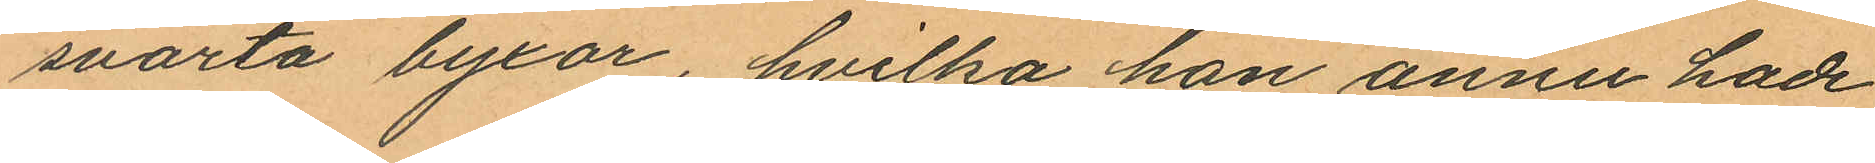svarta byxor, hvilka hon ännu hade
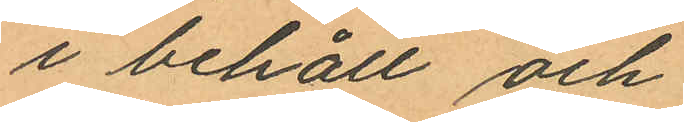i behåll och
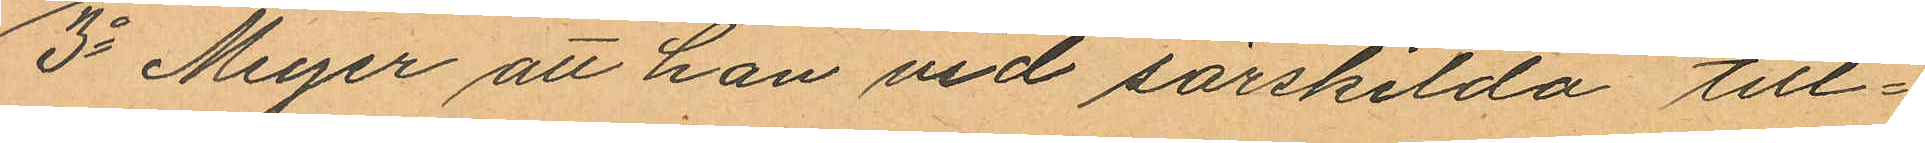3o Meyer att han vid särskilda till¬
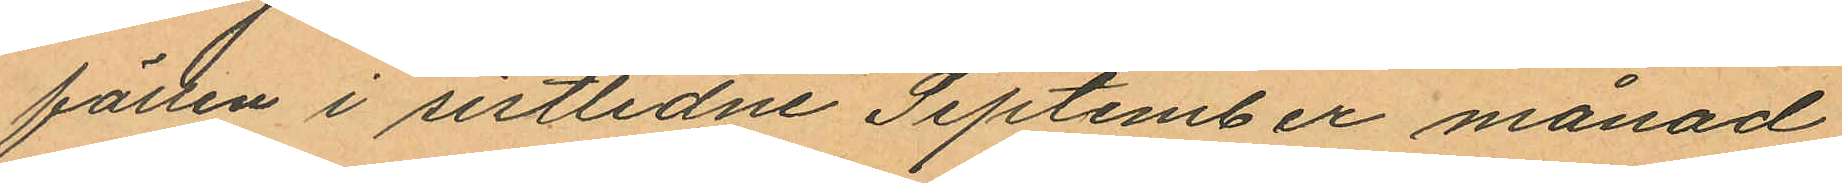fätten i sistlidne September månad
